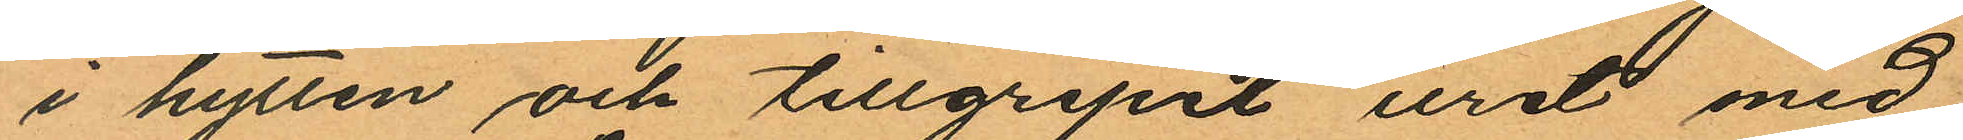i hytten och tillgripit uret med
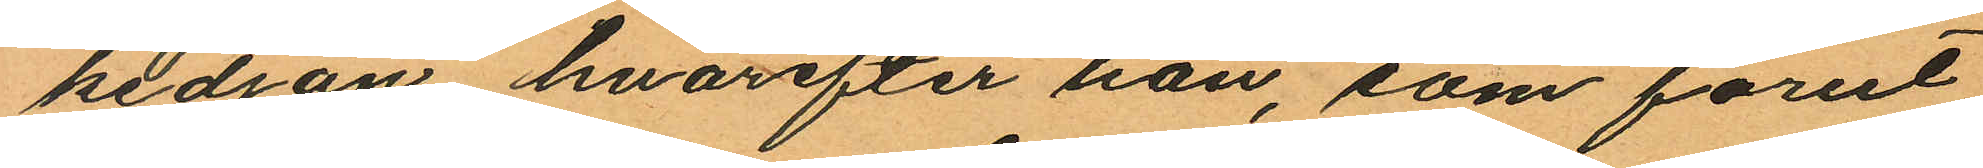kedjan, hvarefter han, som förut
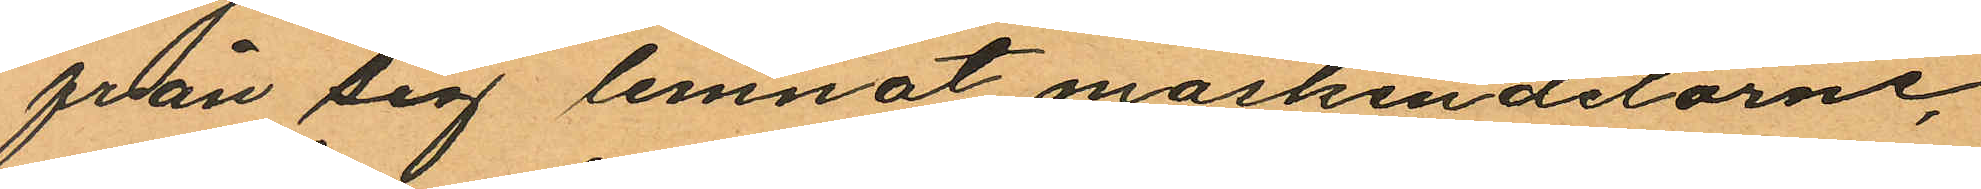från sig lemnat maskindelarne,
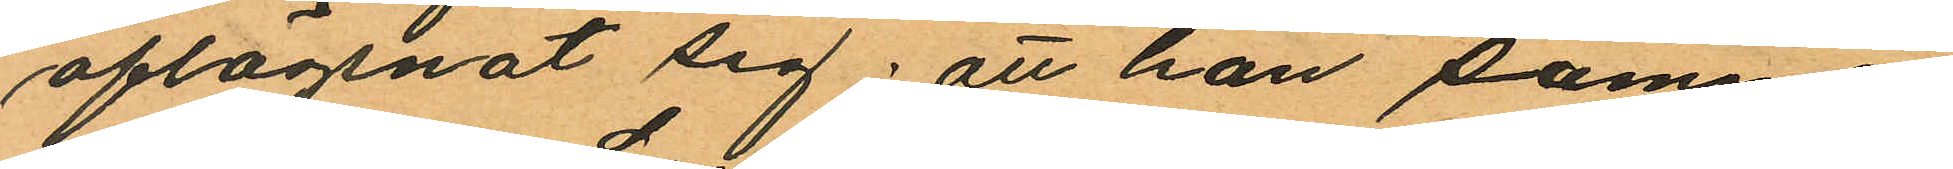aflägsnat sig; att han samma
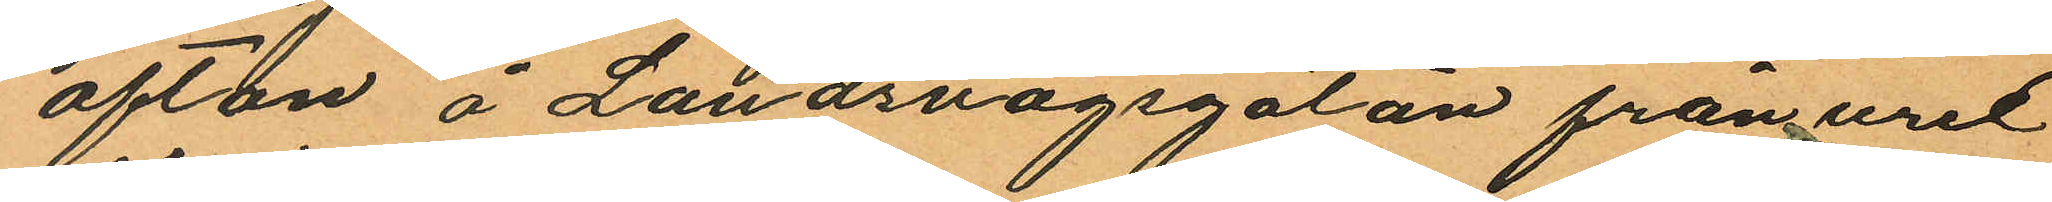afton å Landsvägsgatan från uret
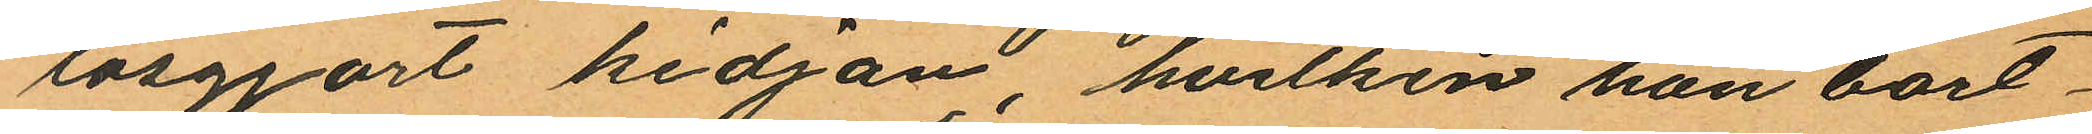lösgjort kedjan, hvilken han bort¬
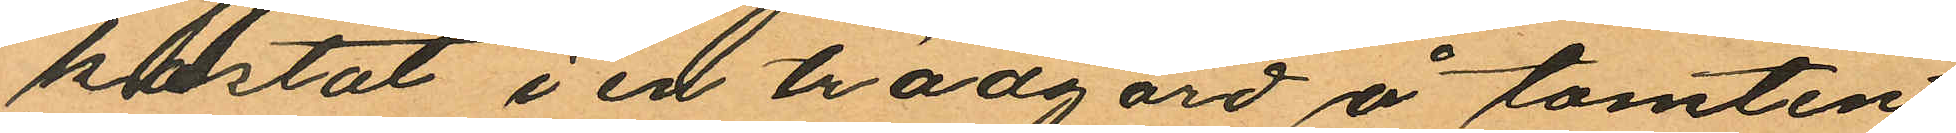kastat i en trädgård å tomten
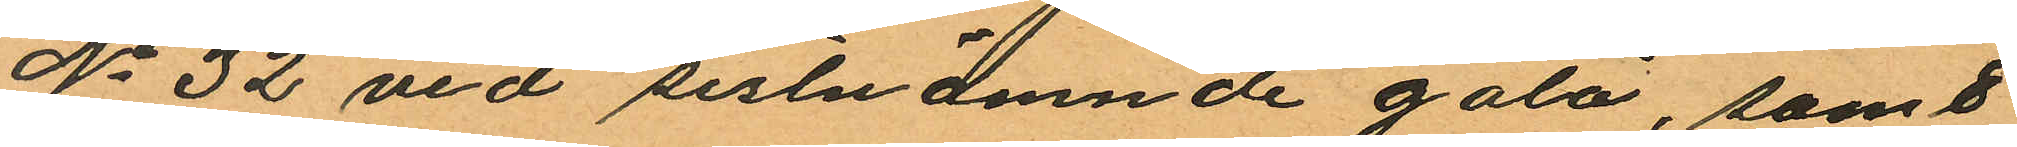No 32 vid sistnämnde gata, samt
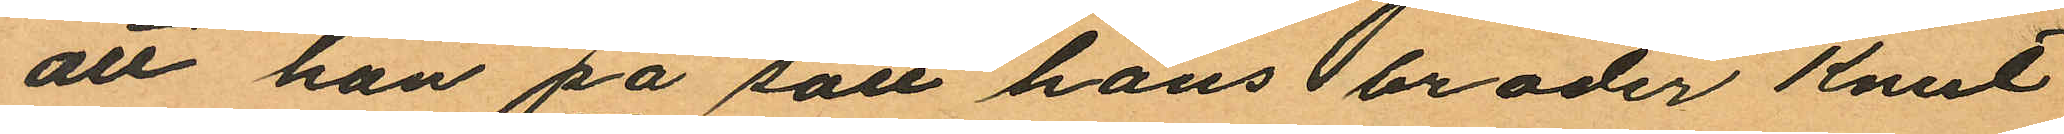att han på sätt hans broder Knut
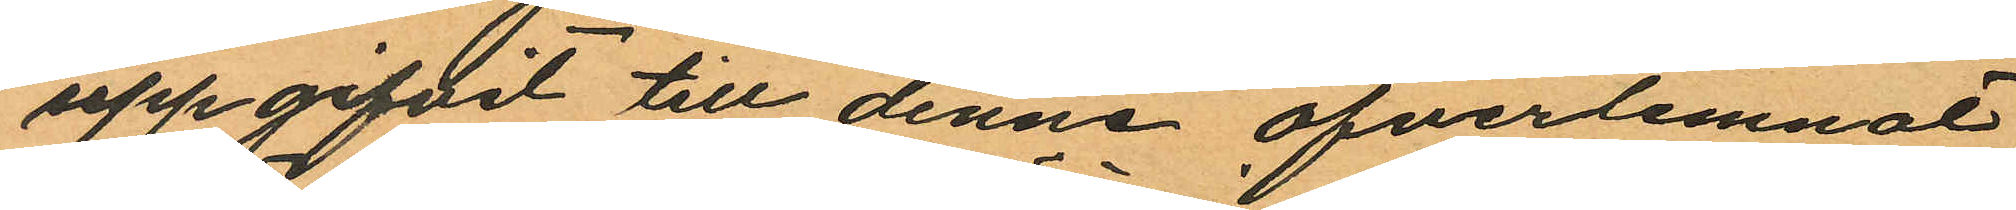uppgifvit till denne öfverlemnat
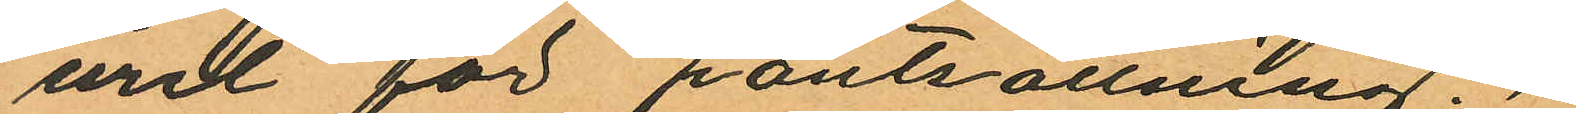uret för pantsättning.
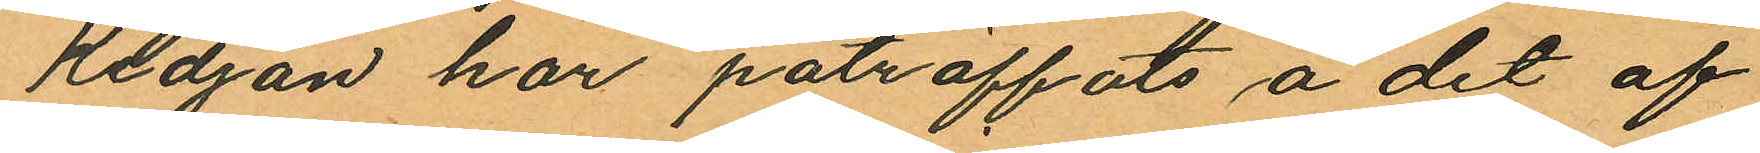Kedjan har påträffats å det af
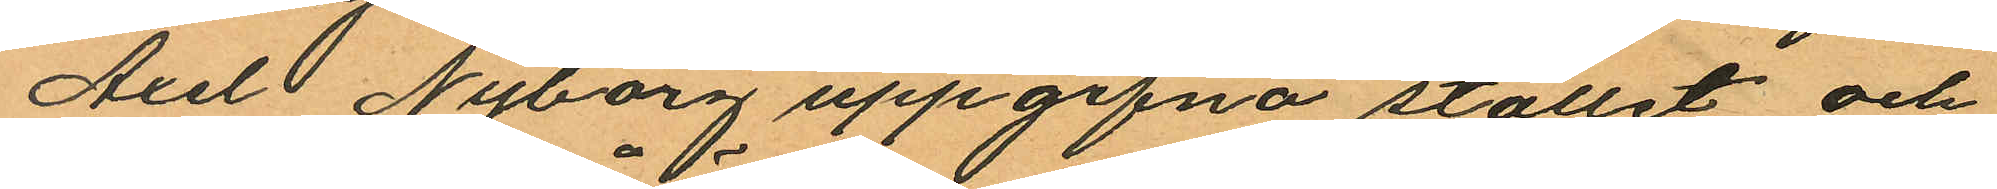Axel Nyborg uppgifna stället; och
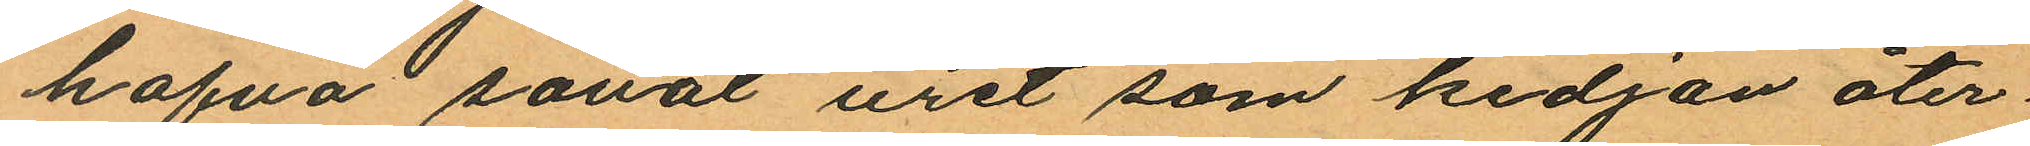hafva såväl uret som kedjan åter¬
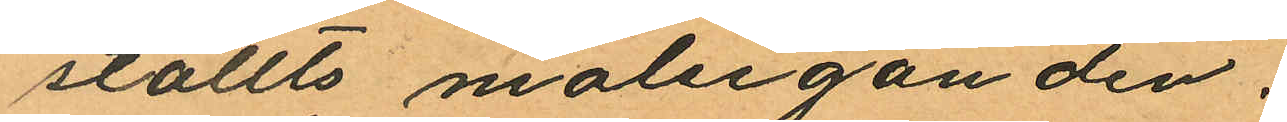ställts målseganden.
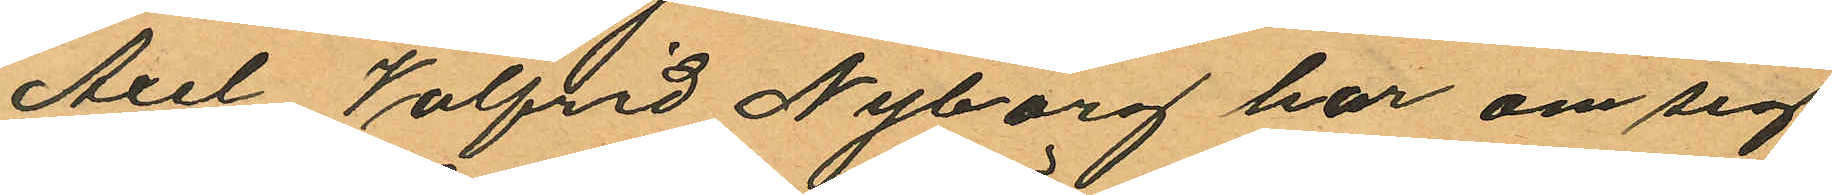Axel Valfrid Nyborg har om sig
